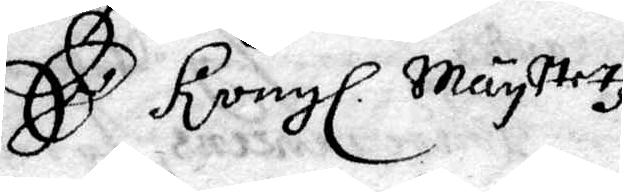Es Kongl Maystetz
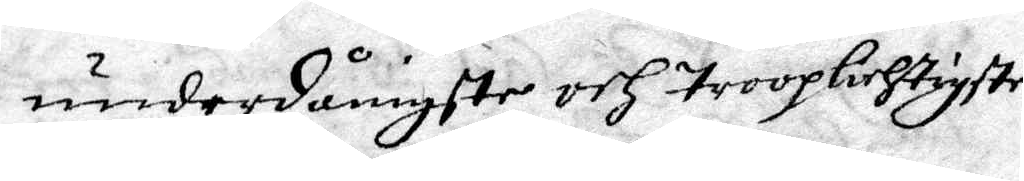underdånigste och trooplichtigste
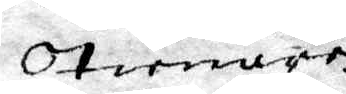Tienare
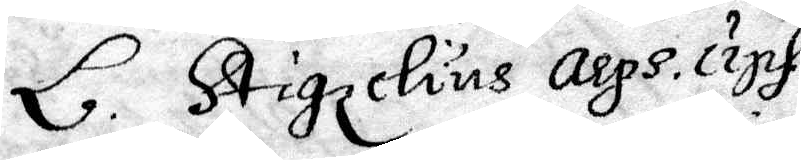L. Stigzelius Arps. Ups
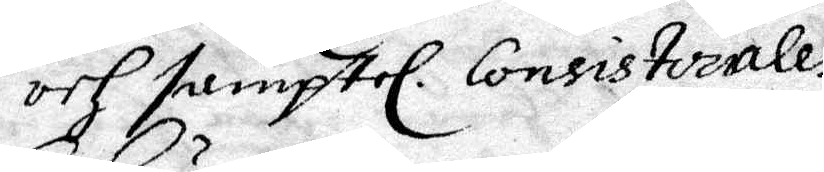och samptel. Consistoriales
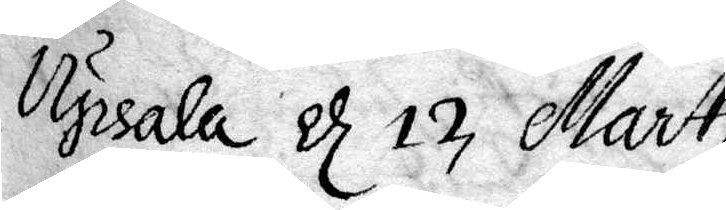Upsala d 12 Marti
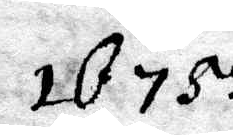1675
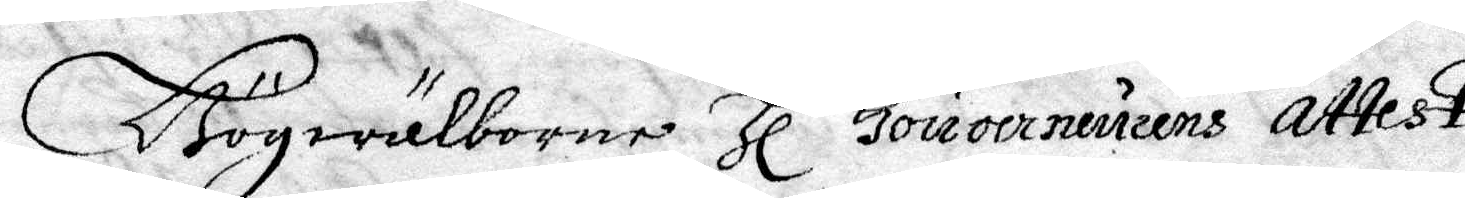Högwälborne Hl Gouverveurens Attest
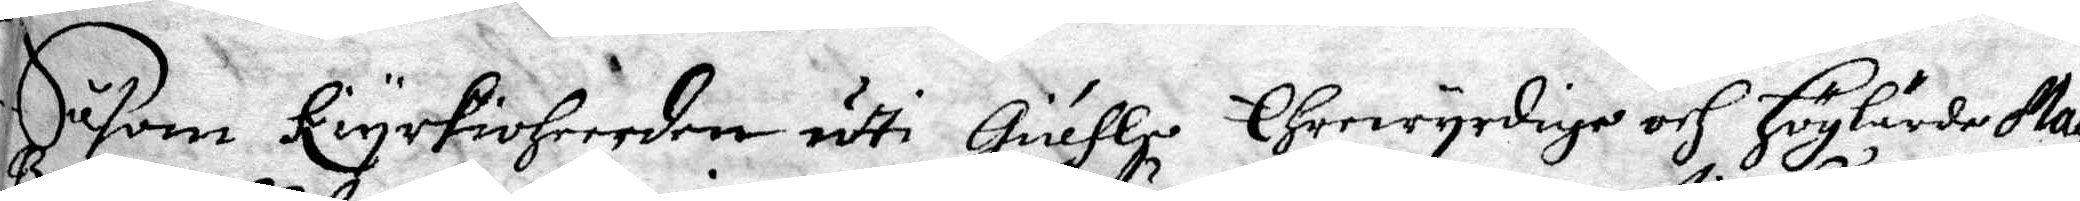Såsom kiyrkioHeerden udti Giäfle Ehrewyrdige och Höglärde Mag:
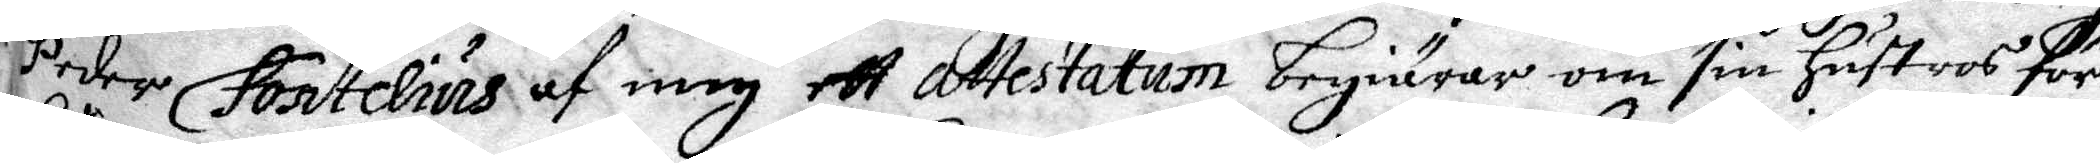Peder Fontelius af mig ett Attestatum begiärer om sin Hustros för¬
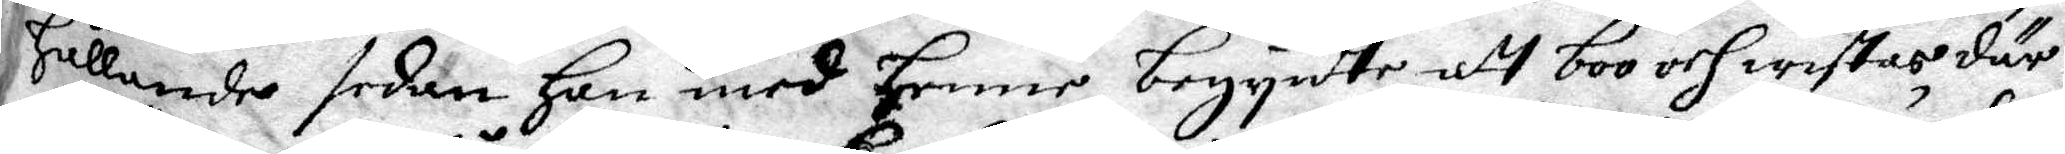hållande sedan Han med Henne begynte att boo och wistas där i
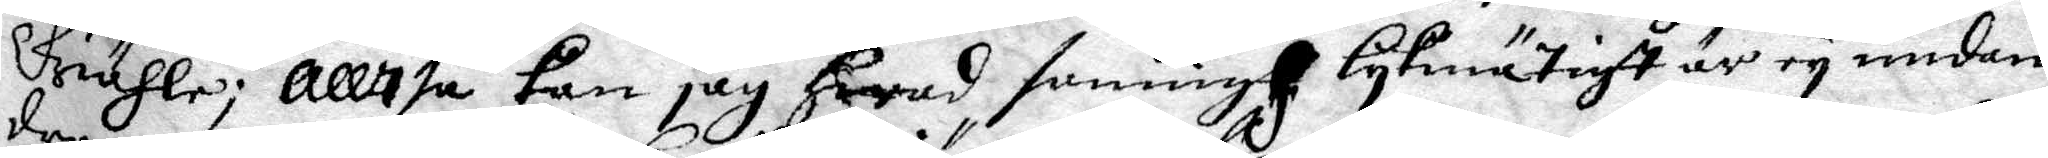Giähle; Alltså kan jag Hwad sanning lykmätigt är ey undan¬
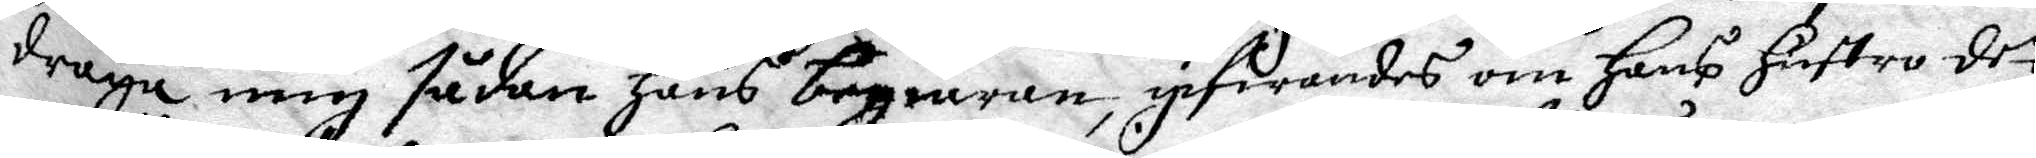draga mig sådan Hans begiäran, ipfirandes om Hans Hustro det
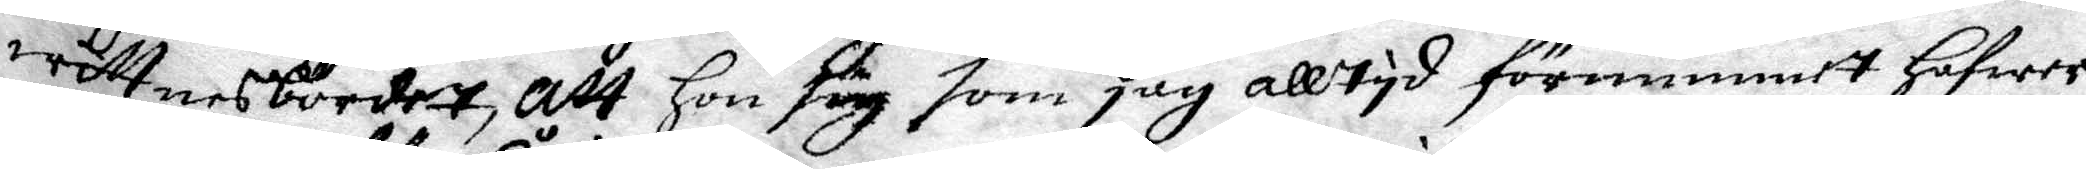wittnesbörder, att Hon sig som jag alltyd förnummet Hafwer
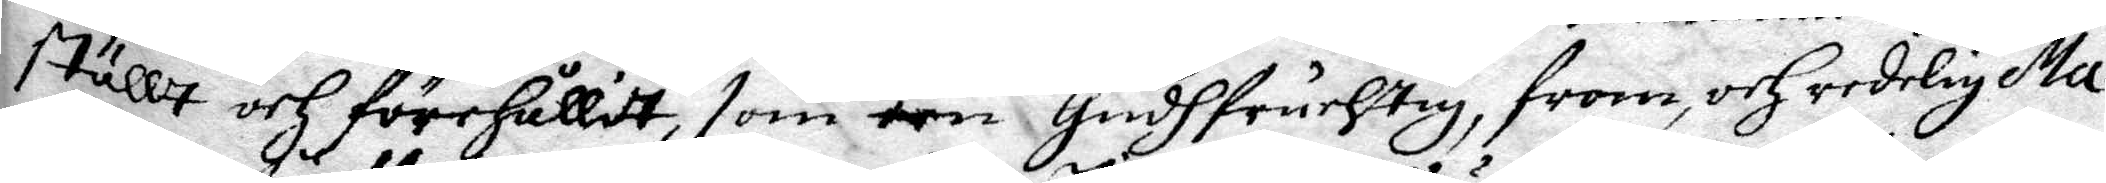ställt och förehållit, som een Gudgfruchtig, from, och Heederlig Ma¬
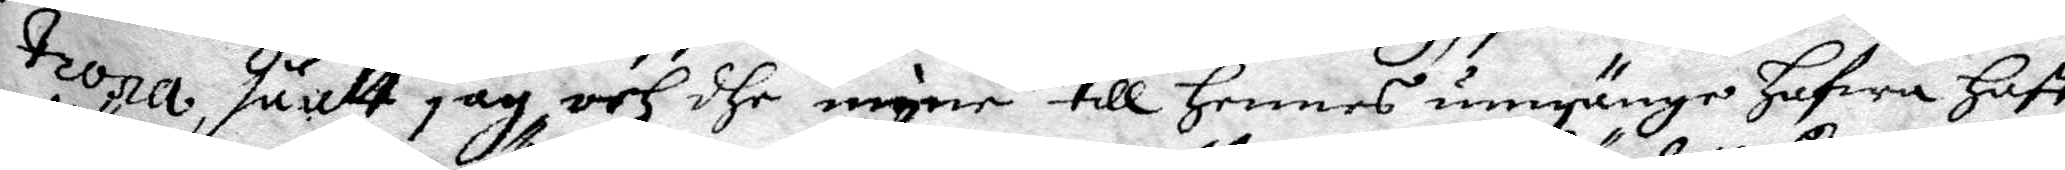trona sånlt jag och dhe mine Till Hennes umgänge Hafwa Haft
